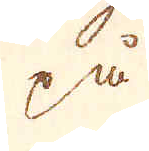på
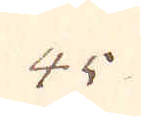45.
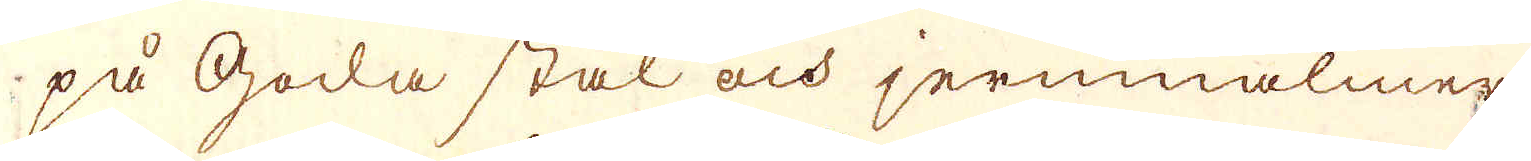på goda stål och jernmalmer
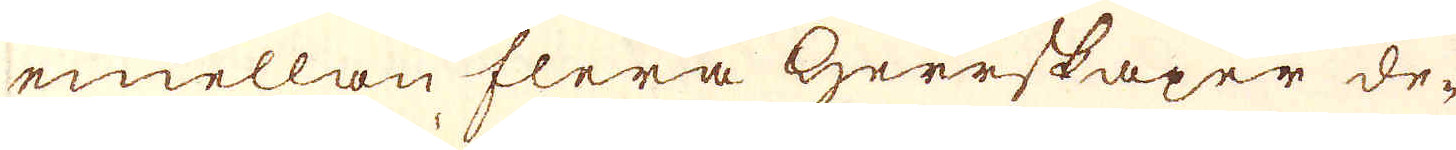emellan flera Herrskaper de-
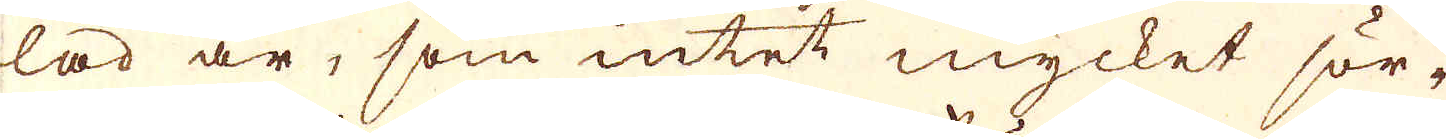lad är, som intet mycket sör-
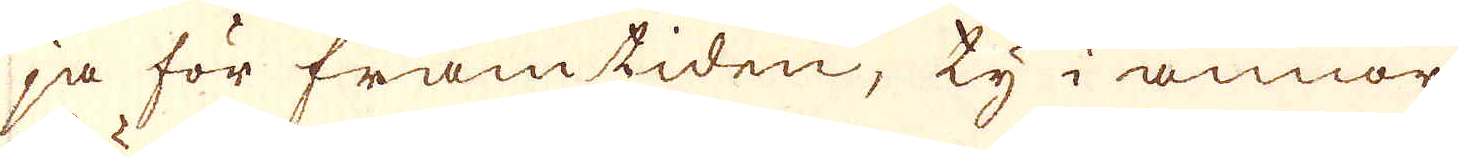ja för framtiden, ty i annor
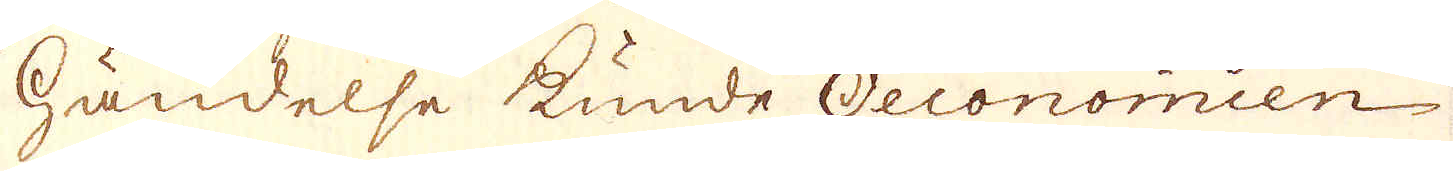Händelse kunde Oeconomien
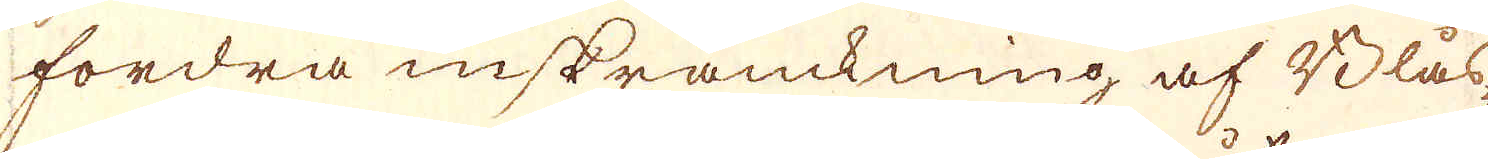fordra inskränckning af Blås-
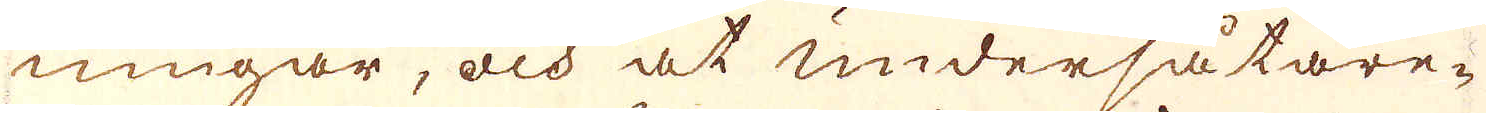ningar, och at undersåtare-
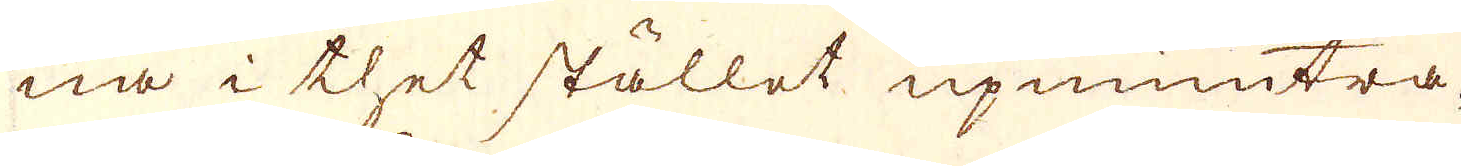na i thet stället upmuntra-
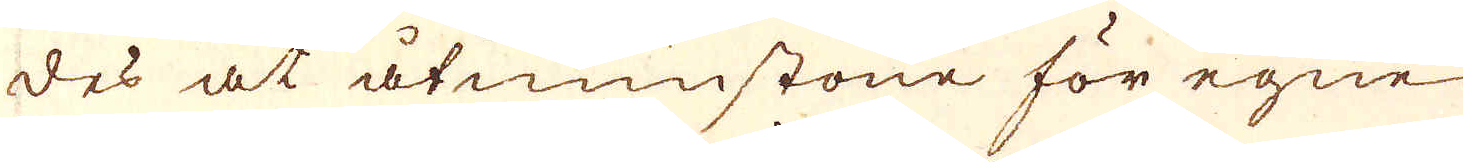des at åtminstone för egne
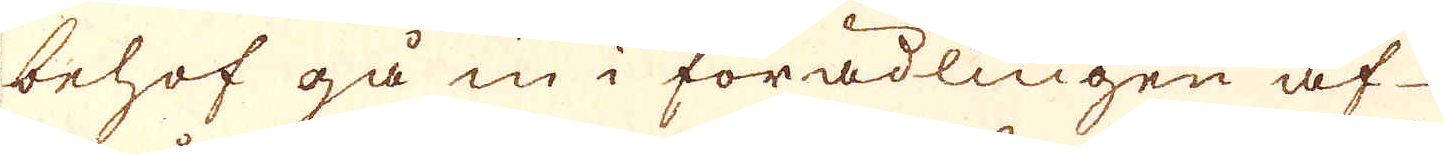behof gå in i förädlingen af
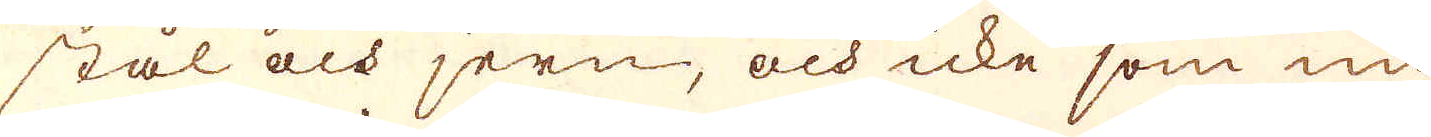stål och jern, och icke som nu
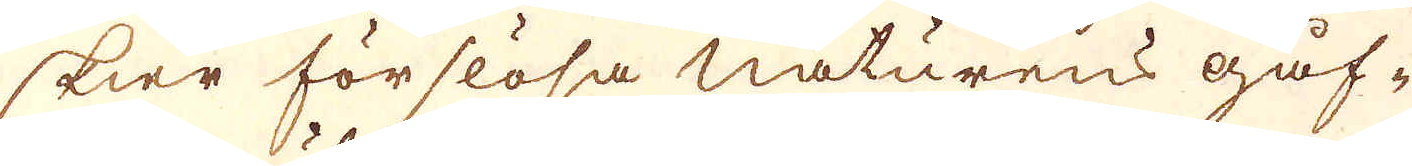skier förslösa naturens gåf-
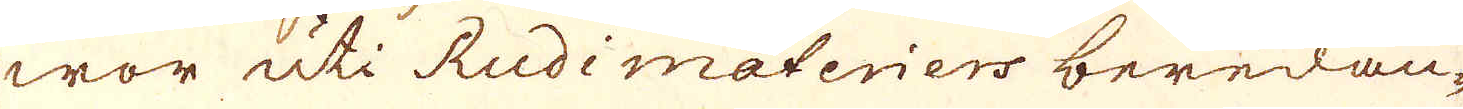wor uti Rudimateriers beredan-
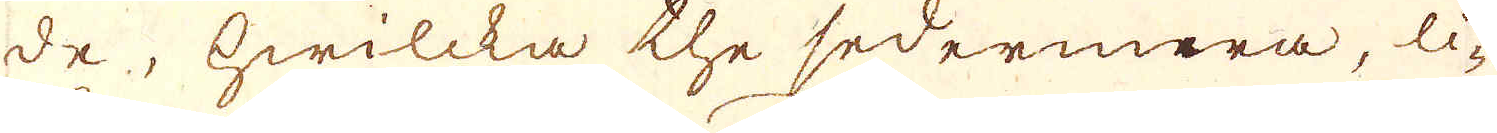de, hwilcka the sedermera, li-
